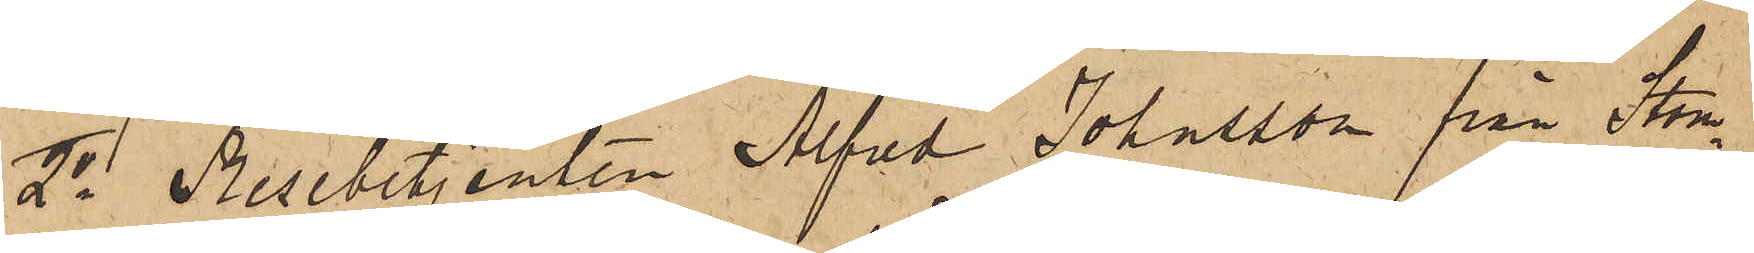2o Resebetjenten Alfred Johnsson från Stom¬
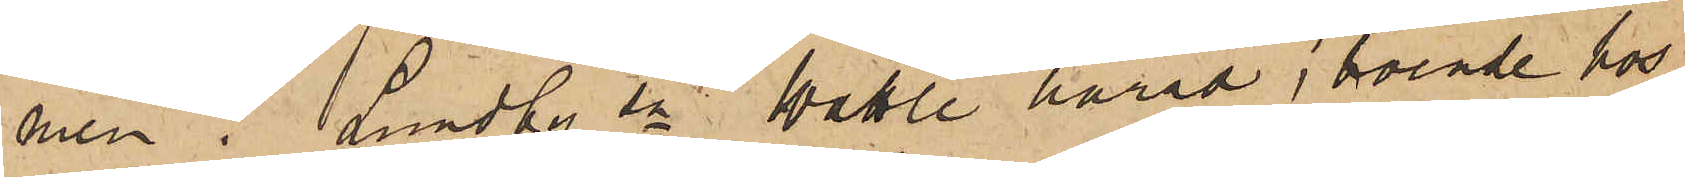men i Lundby sn Wättle härad, boende hos
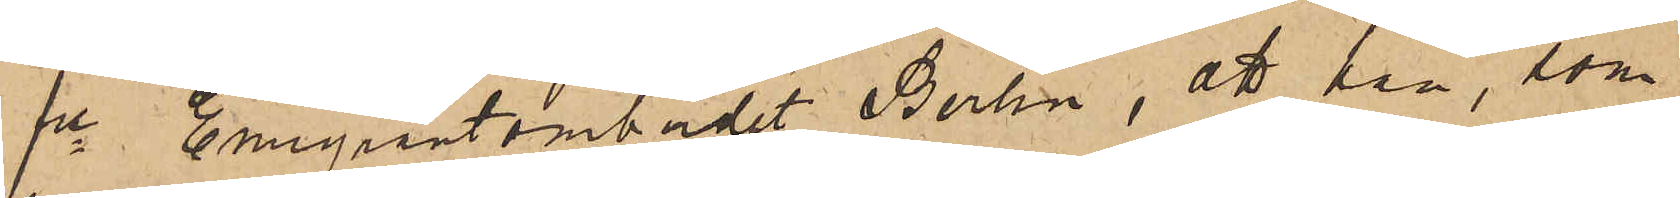fre Emigrantombudet Berlin, att han, som
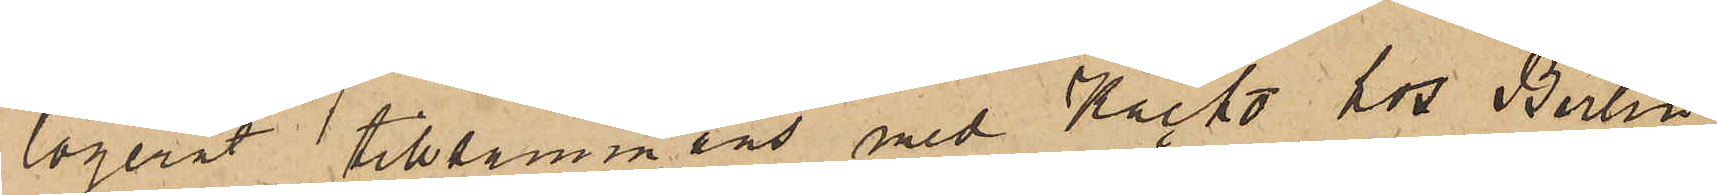logerat tillsammans med Kacko hos Berlin
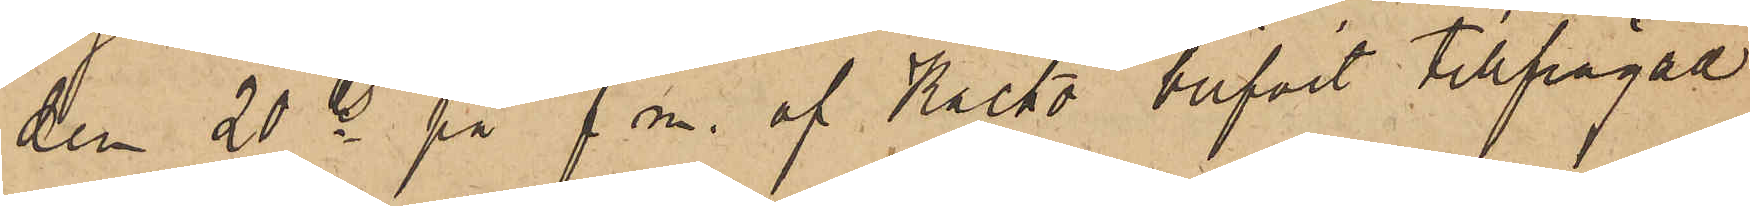den 20 ds på f. m. af Kacko blifvit tillfrågad
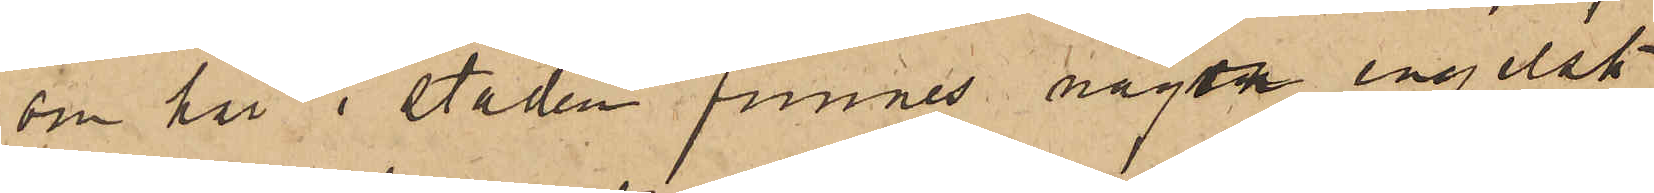om här i staden funnes någon engelsk
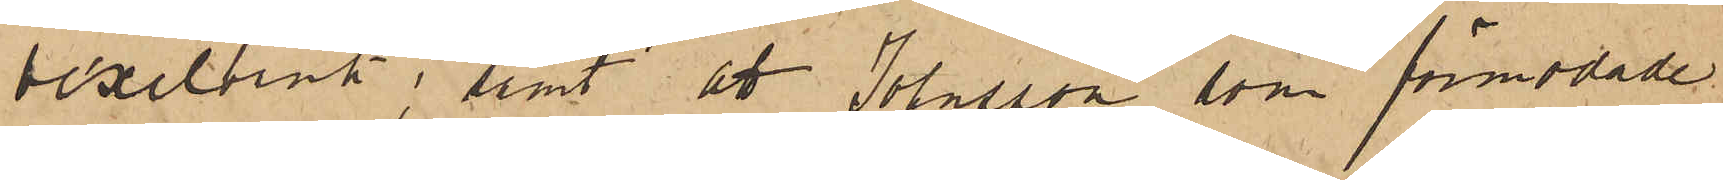vexelbank; samt att Johnsson, som förmodade
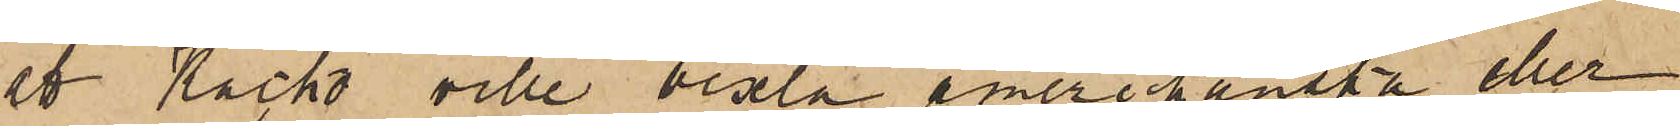att Kacko ville vexla Amerikanska eller
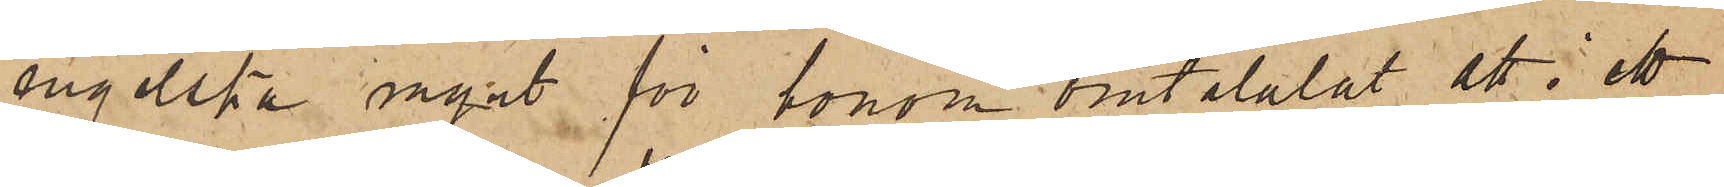engelska mynt för honom omtalalat att i ett
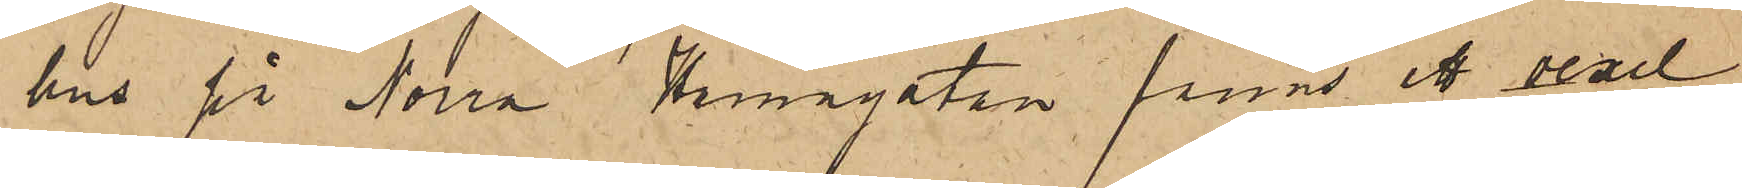hus på Norra Hamngatan fanns ett vexel¬
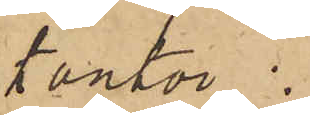kontor.
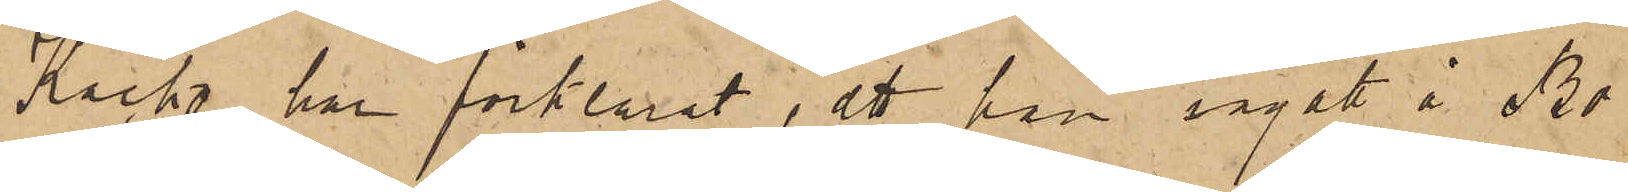Kacko har förklarat, att han ingått å Br
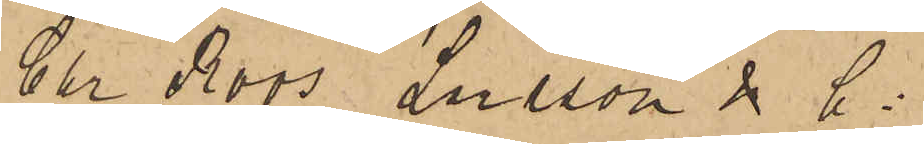Chr Roos Larsson & Ci
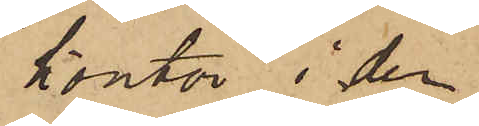kontor i den
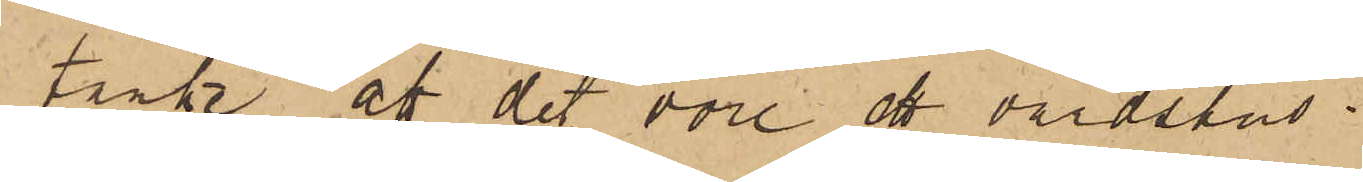tanke att det vore ett värdshus.
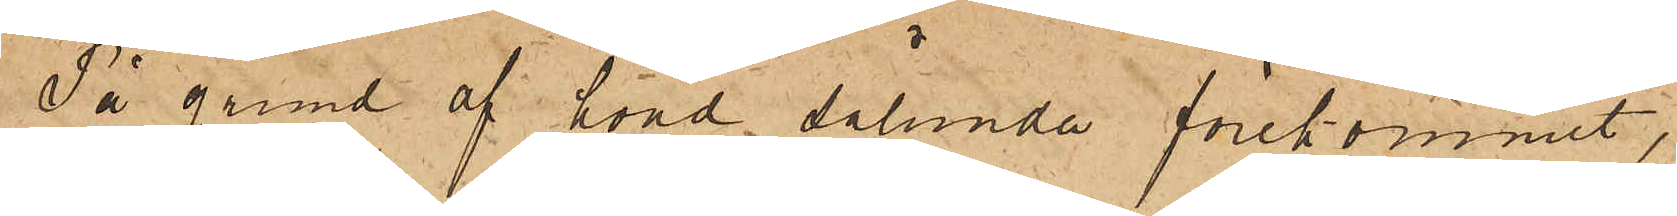På grund af hvad sålunda förekommit,
